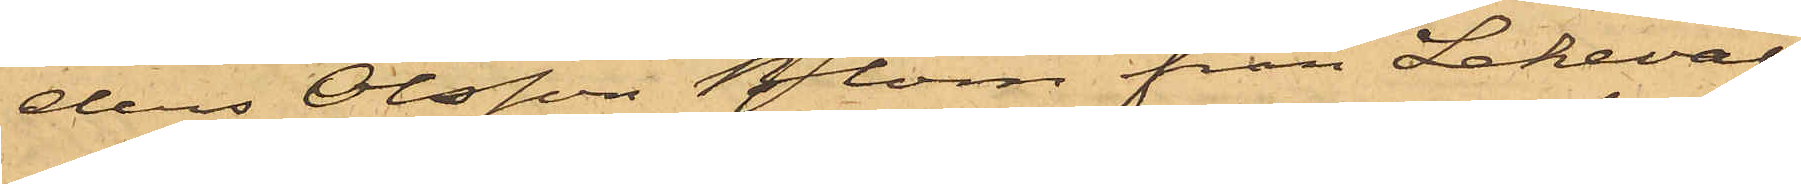ders Olsson Blom från Lekevall
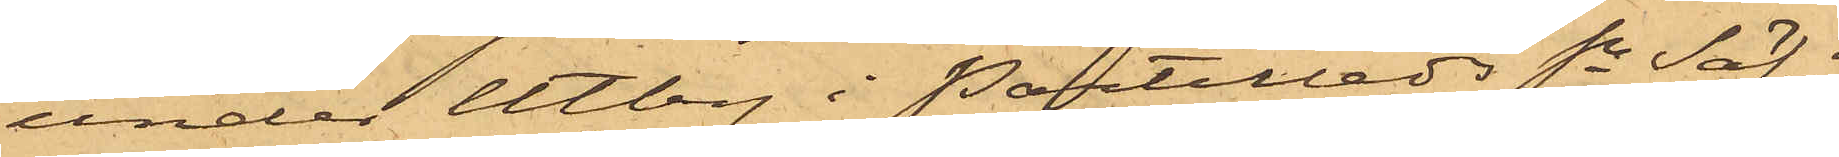under Utby i Partilleds Sn Säf¬
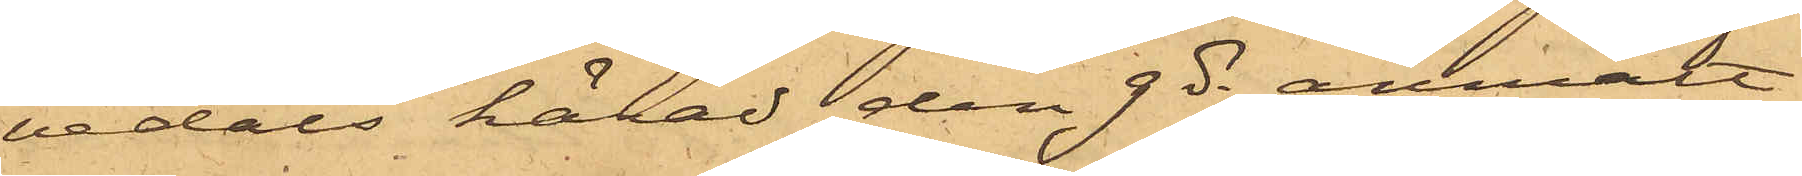vedals härad den 9 ds anmält
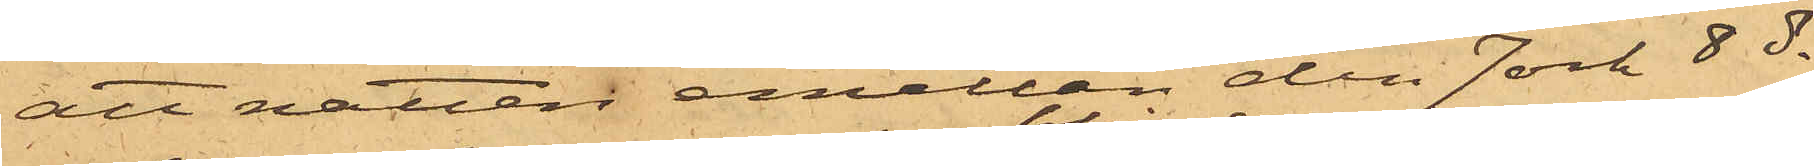att natten emellan den 7 och 8 ds
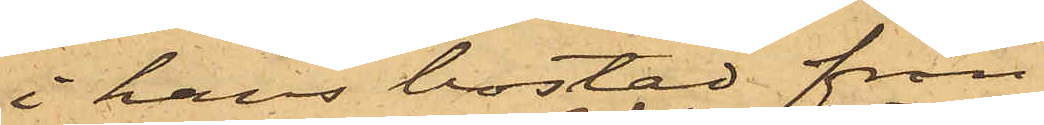i hans bostad från
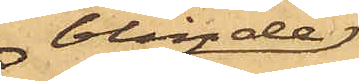blinde
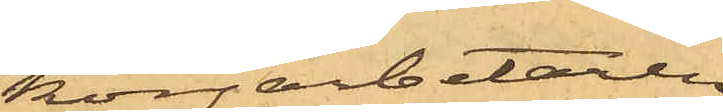korgarbetaren
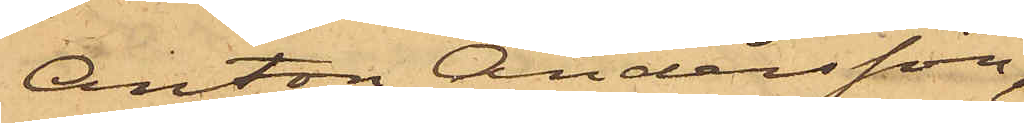Anton Andersson,
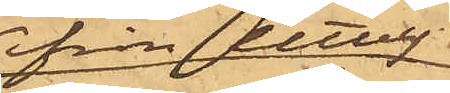ifrån Utby,
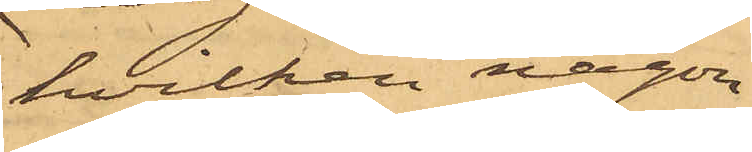hvilken någon
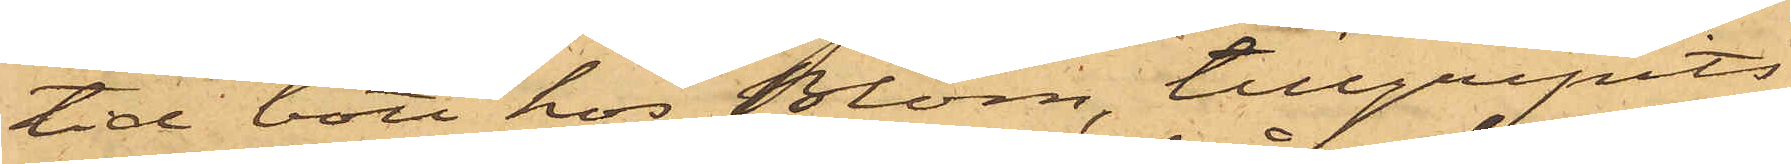tid bott hos Blom, tillgripits
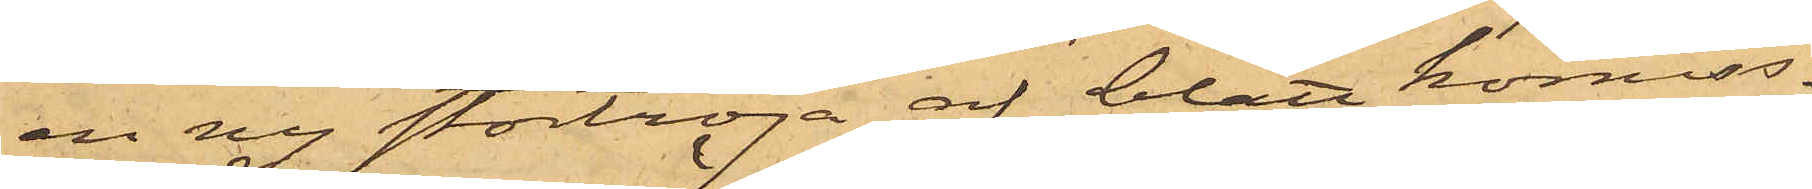en ny stortröja af blått komiss¬
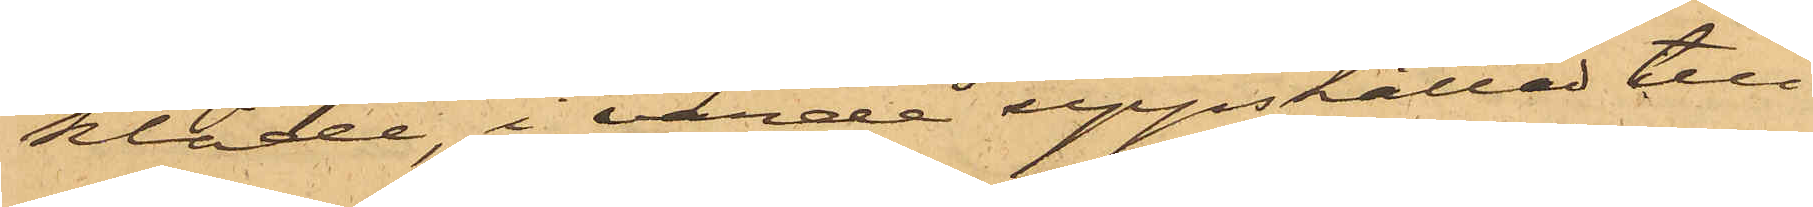kläde, i värde uppskattad till
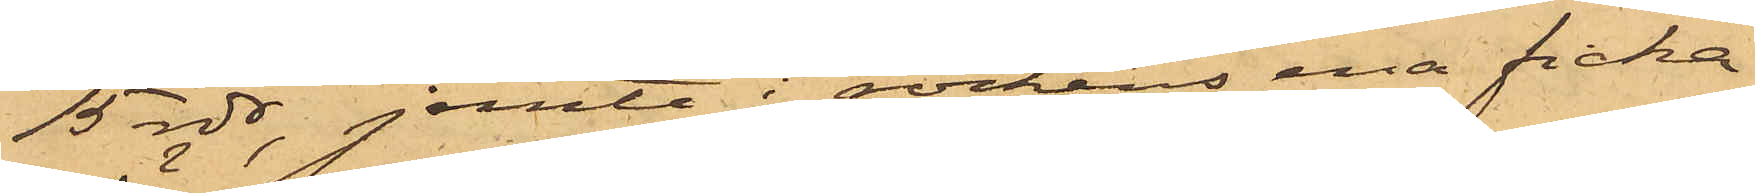15 rdr, jemte i rockens ena ficka
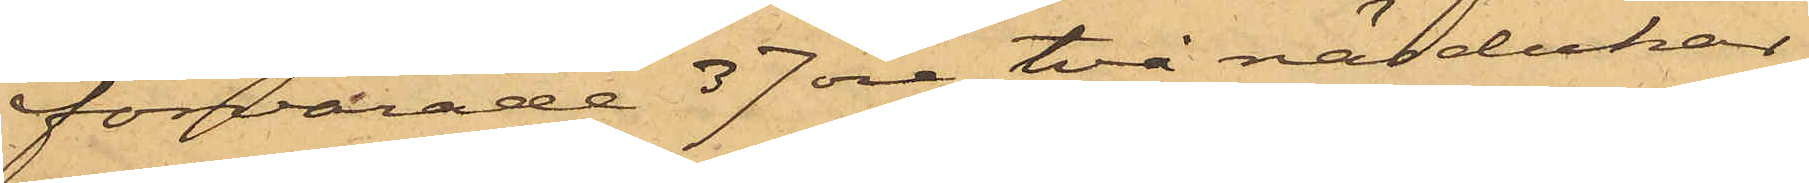förvarade 37 öre, två näsdukar
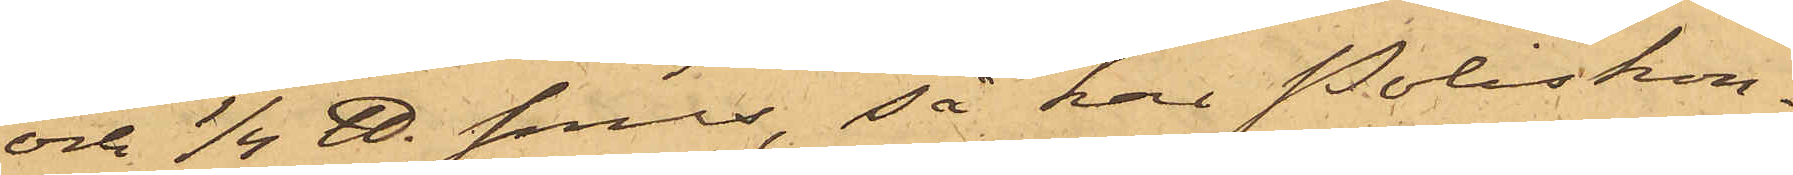och 1/4 ℔. snus, så har Poliskon¬
